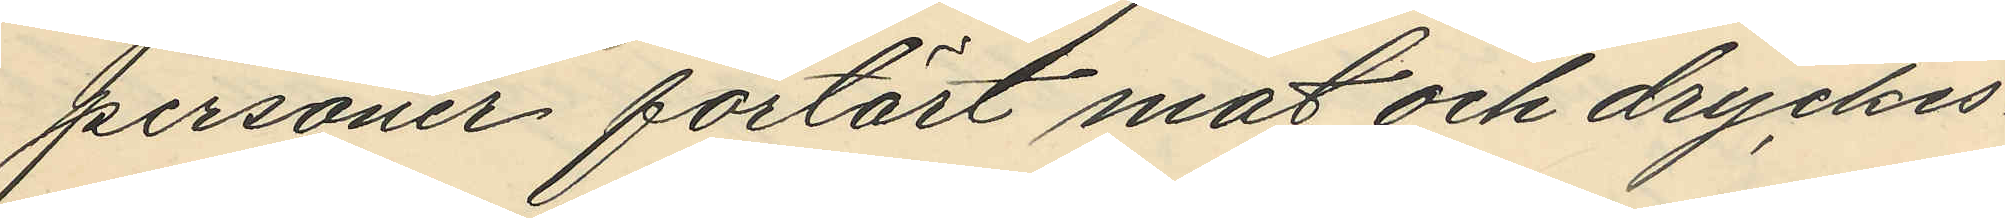personer förtärt mat och dryckes¬
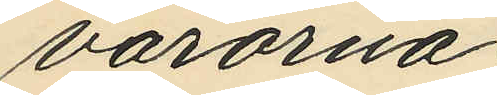varorna;
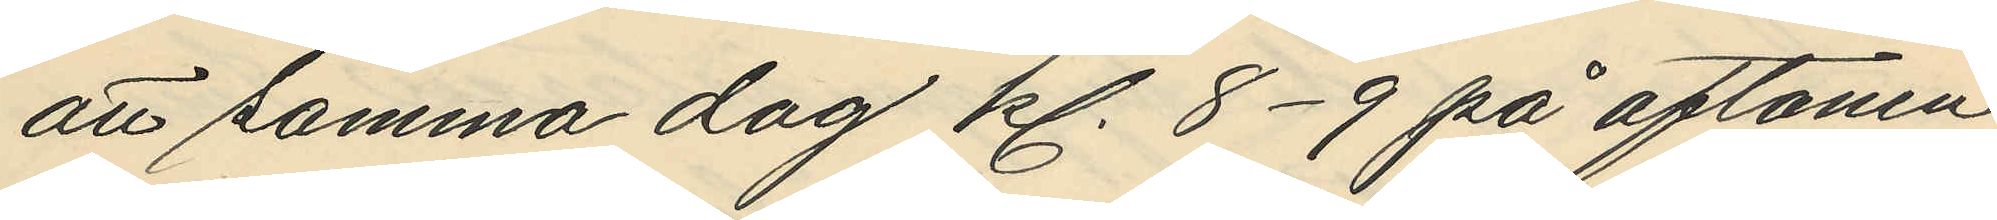att samma dag kl. 8-9 på aftonen,
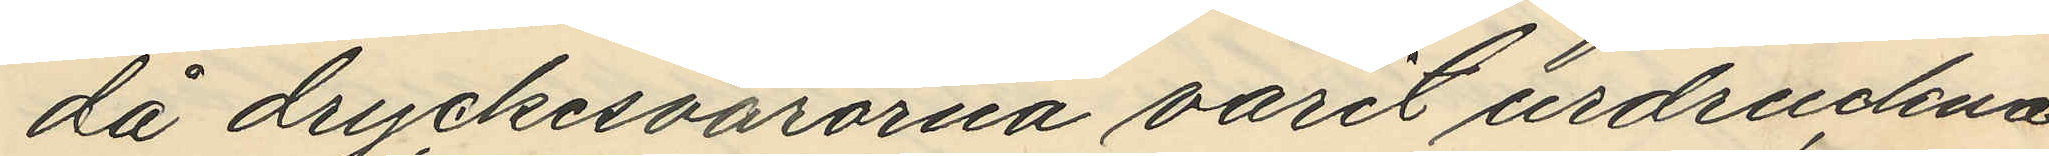då dryckesvarorna varit urdruckna
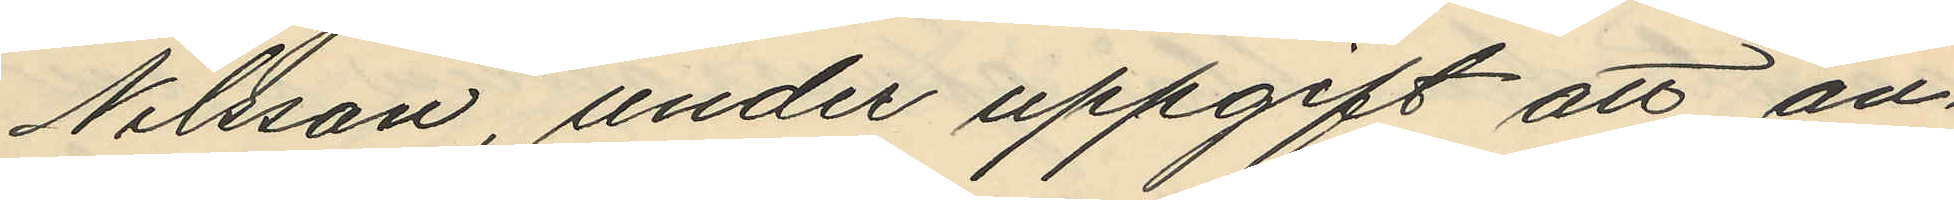Nilsson, under uppgift att an¬
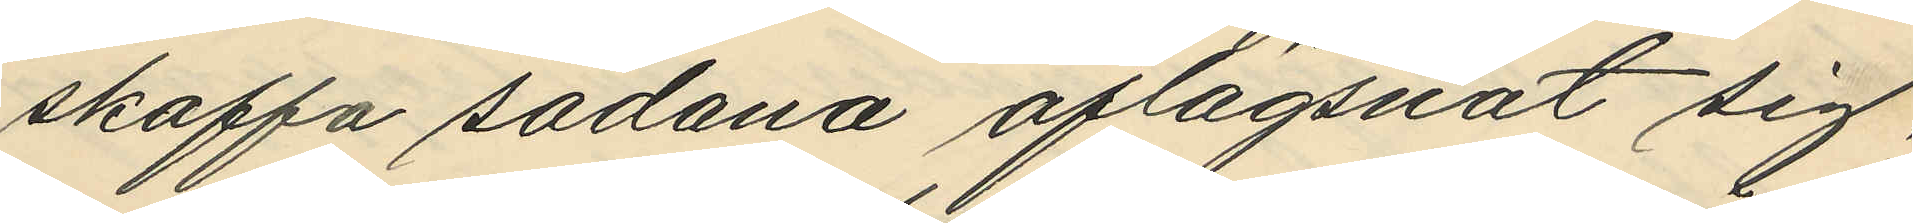skaffa sådana aflägsnat sig,
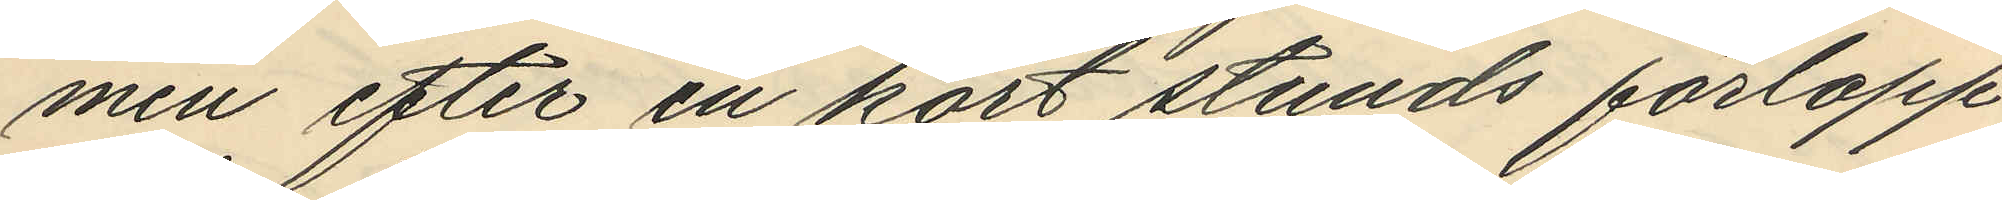men efter en kort stunds förlopp
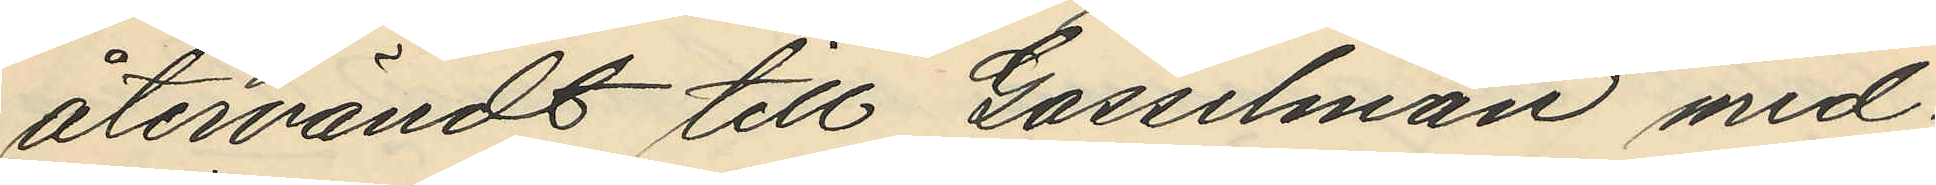återvändt till Gosselman med¬
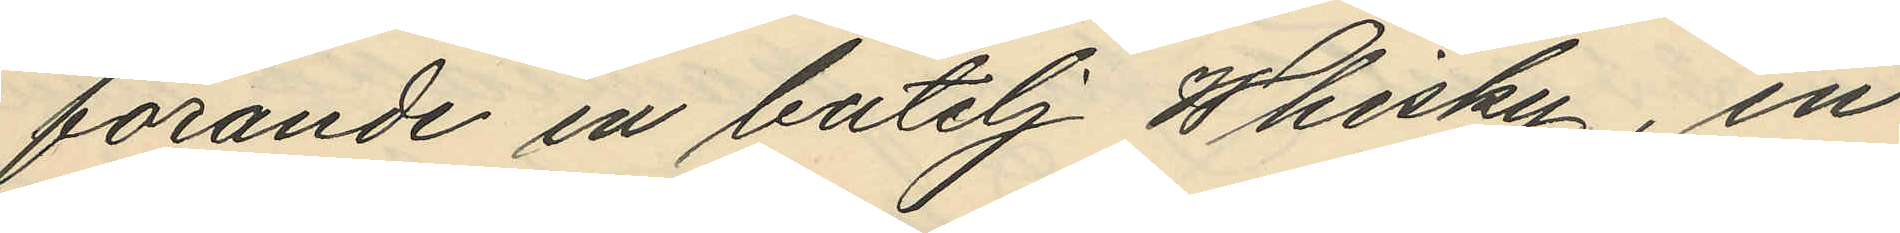förande en butelj Whisky, en
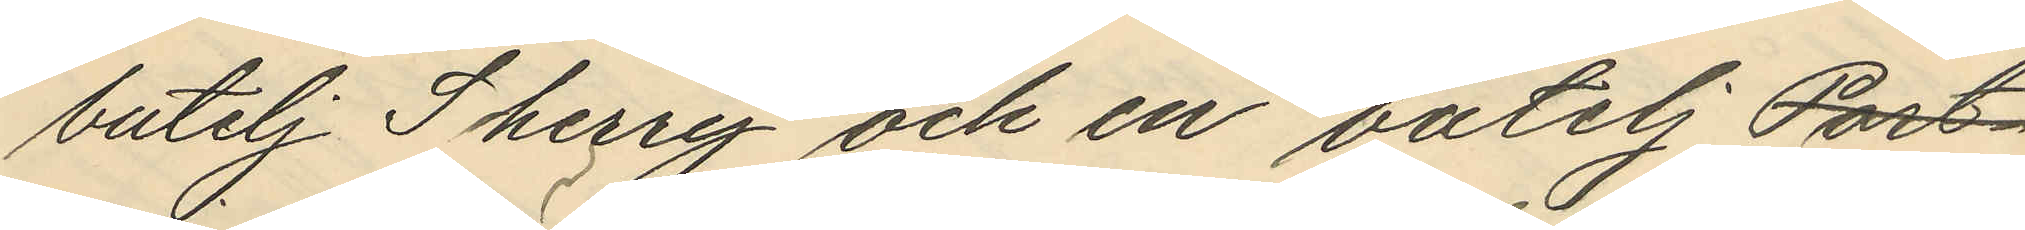butelj Sherry och en butelj Port¬
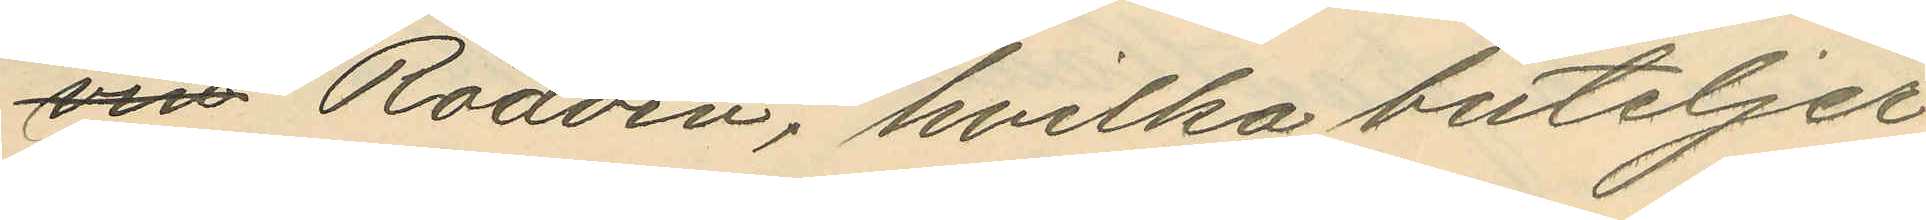vin Rödvin, hvilka buteljer
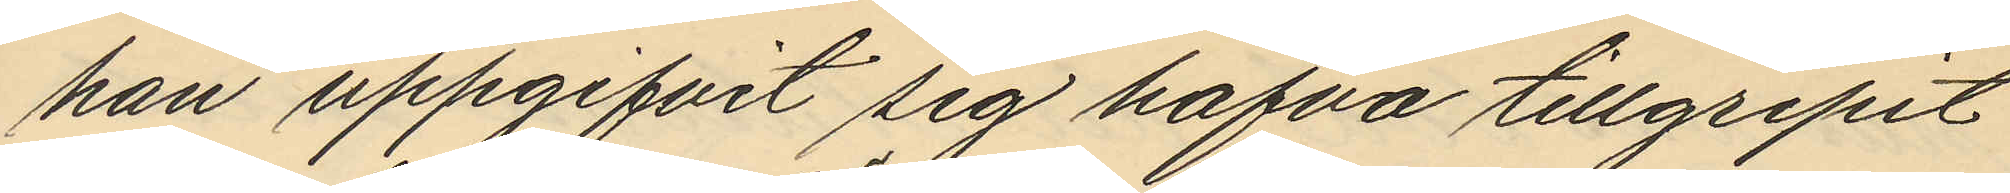han uppgifvit sig hafva tillgripit
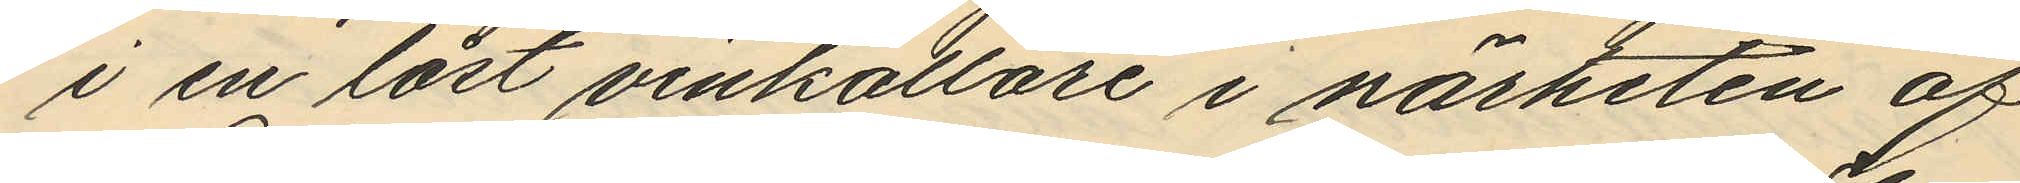i en låst vinkällare i närheten af
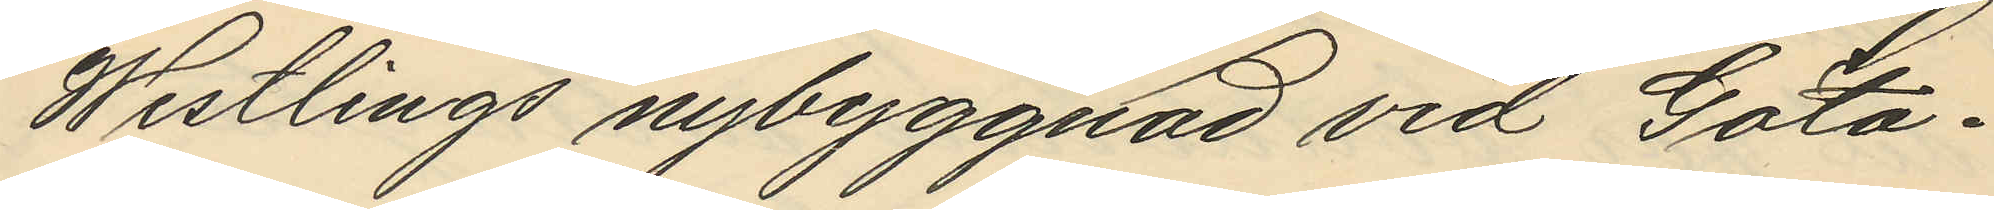Westlings nybyggnad vid Göta¬
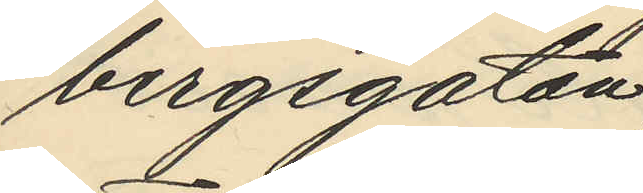bergsgatan;
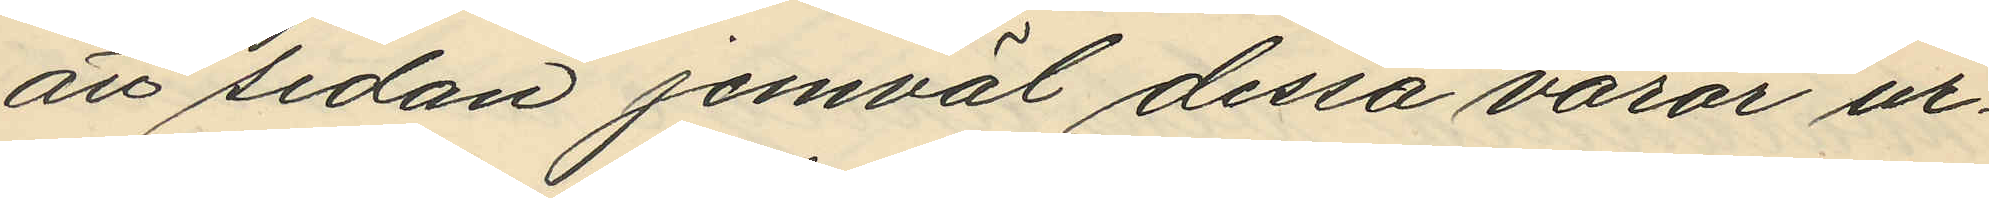att sedan jemväl dessa varor ur¬
